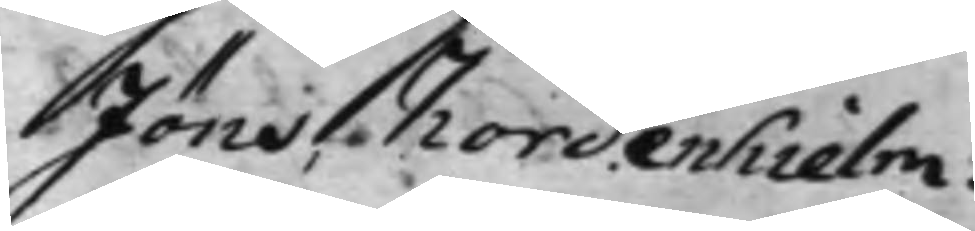Jöns Nordenhielm.
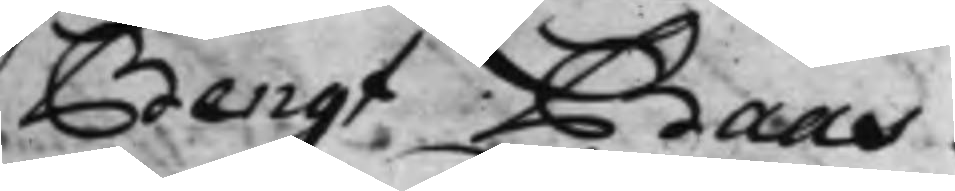Bengt Baas.
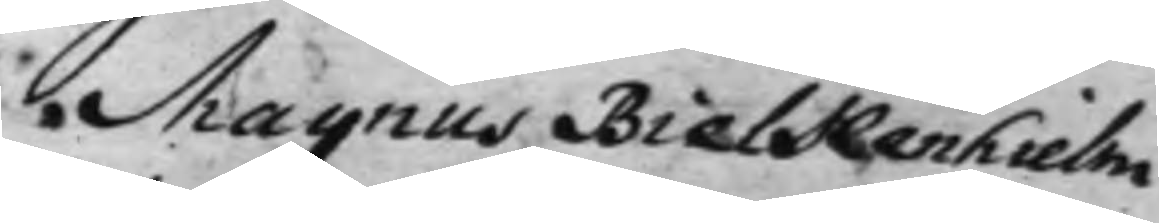Magnus Bielkenhielm
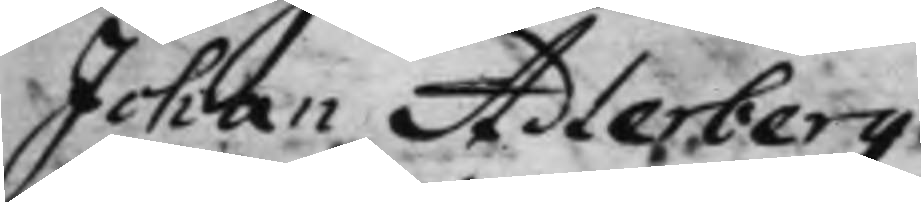Johan Adlerberg.
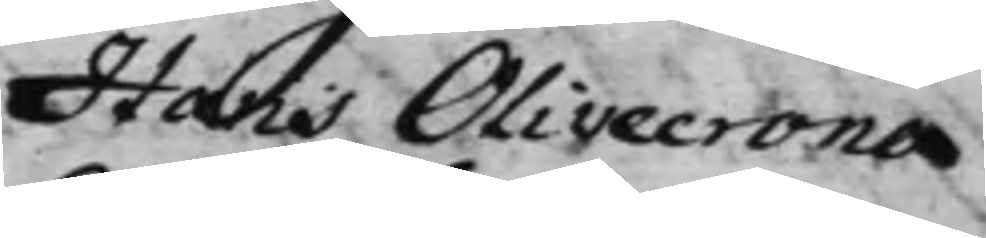Hans Olivecrona
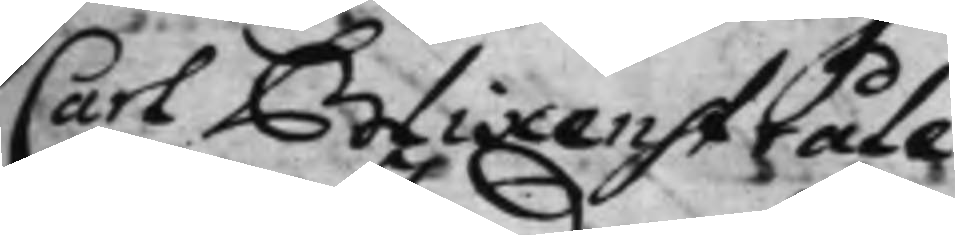Carl Blixenstråle.
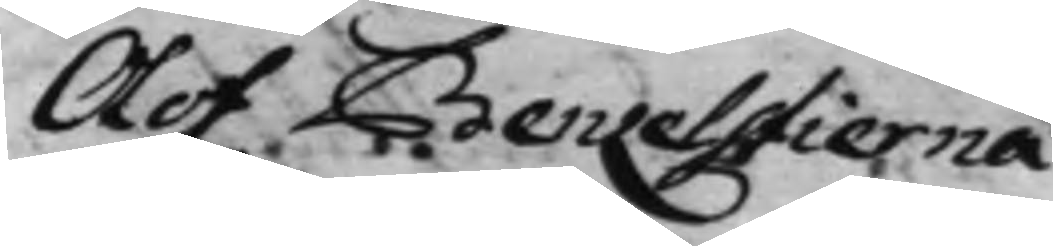Olof Benzelstierna
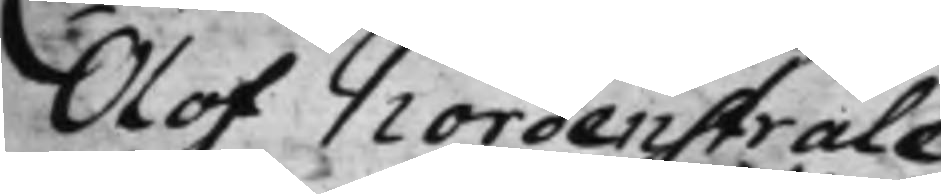Olof Nordenstråle
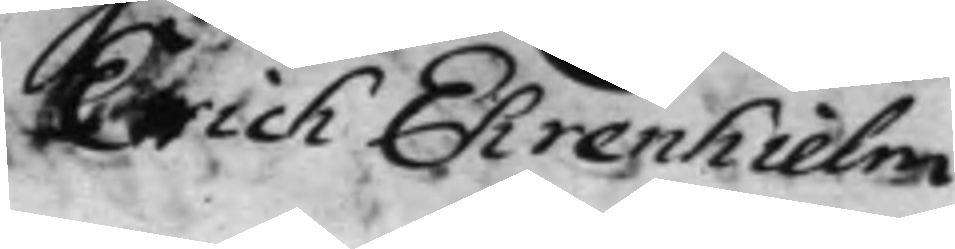Erich Ehrenhielm
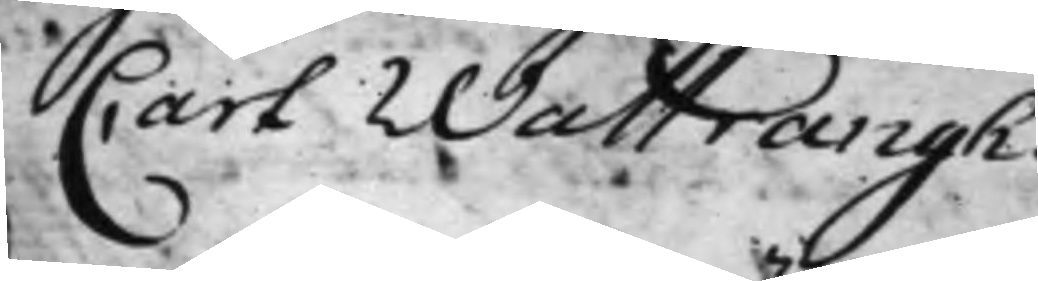Carl Wattrangh.
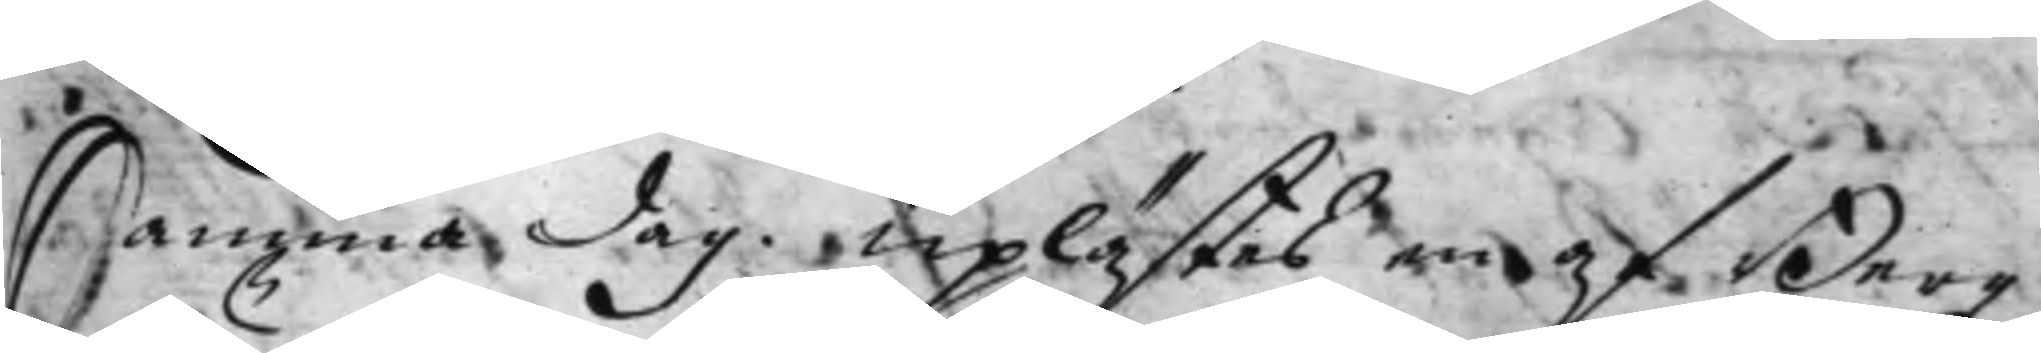Samma dag. Uplästes en af Berg¬
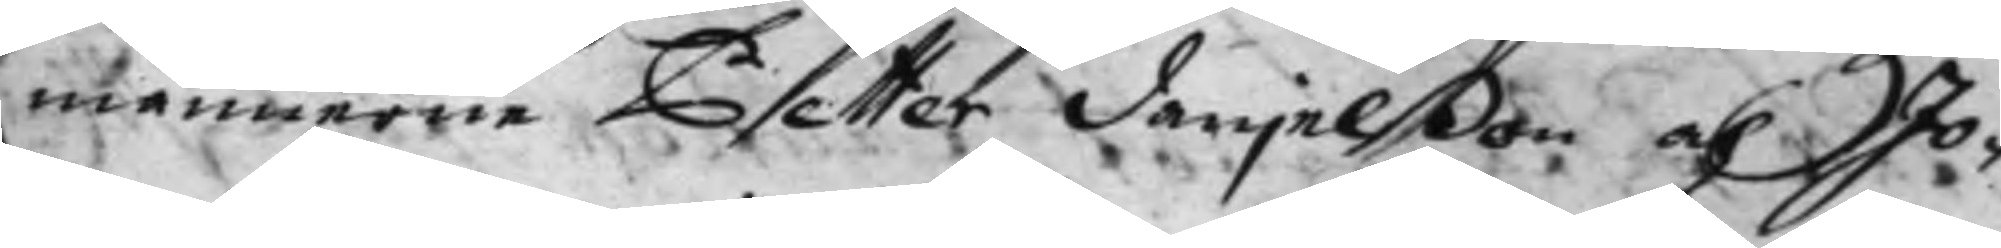männerne Petter Danjelßon och Jo¬
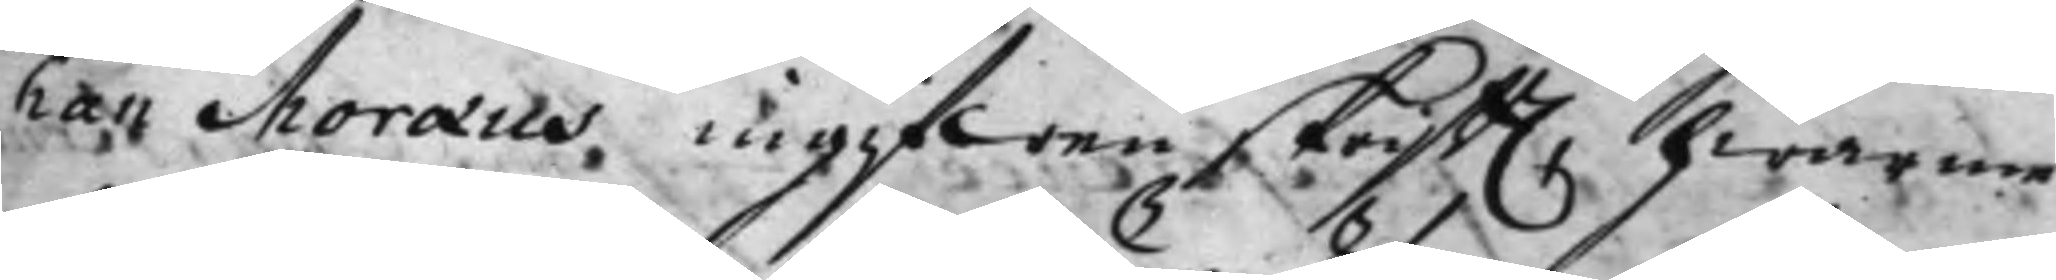han Moræus, ingifwen skrifft. hwarme¬
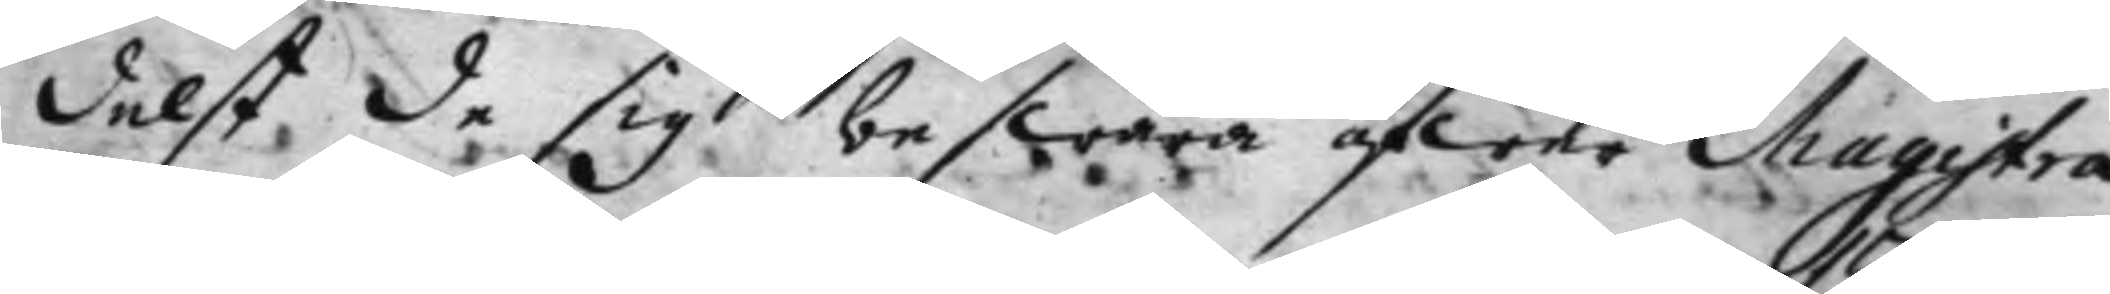delst de sig beswära öfwer Magistra¬
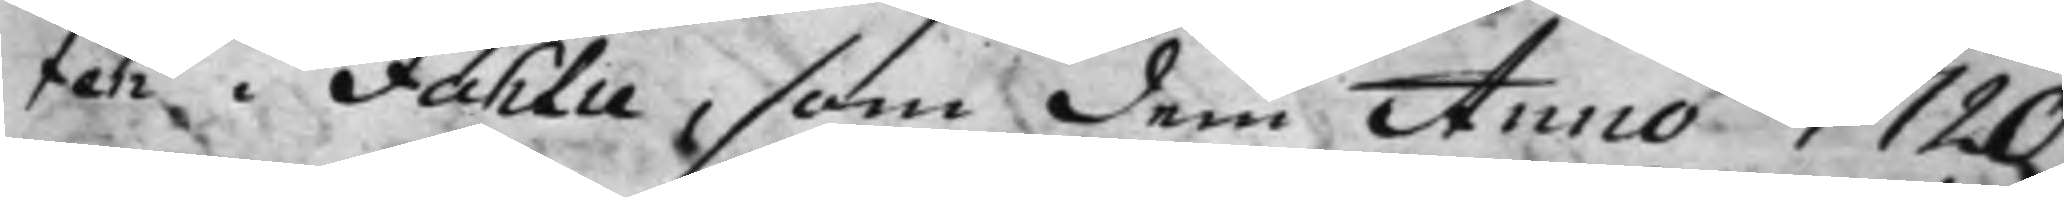ten i Fahlu, som dem Anno 1720
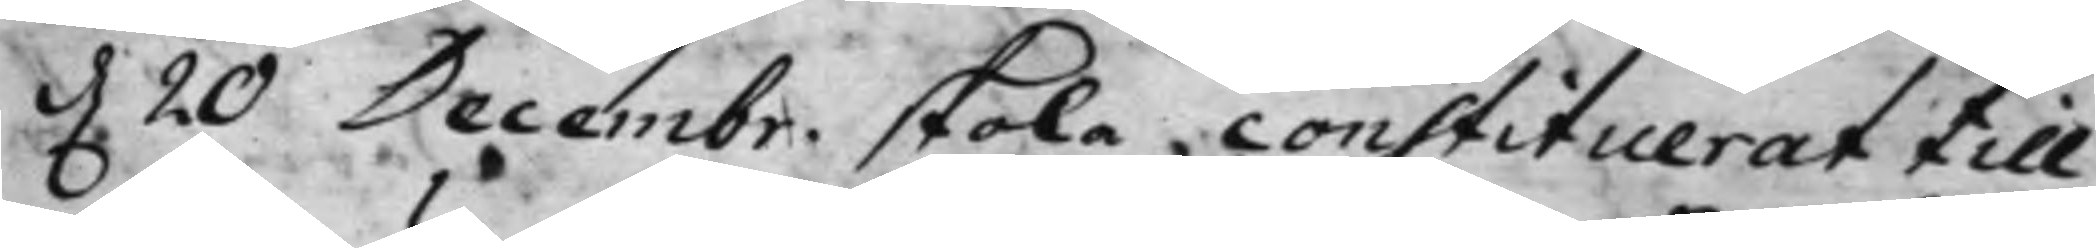d. 20 Decembr. skola, constituerat till 
